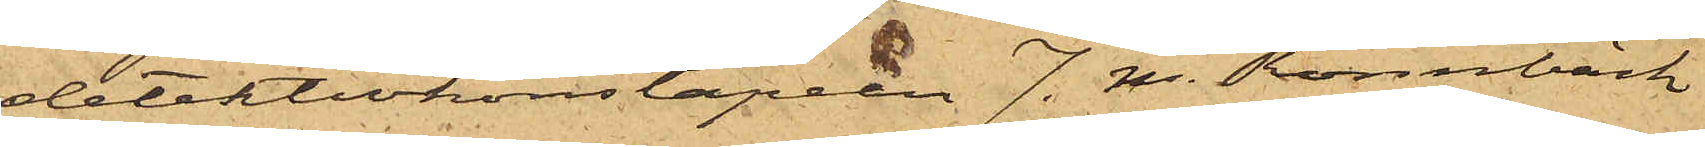detektivkonstapeln J. M. Rönnbäck
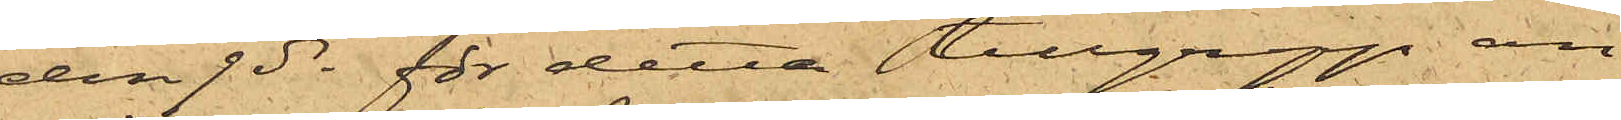den 9 ds för detta tillgrepp an¬
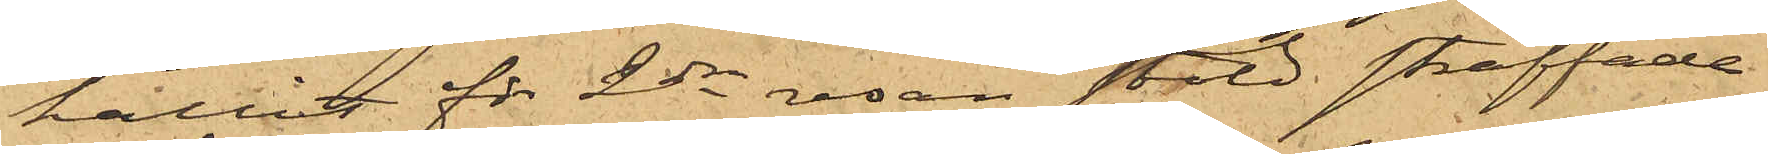hållit för 2dra resan stöld straffade
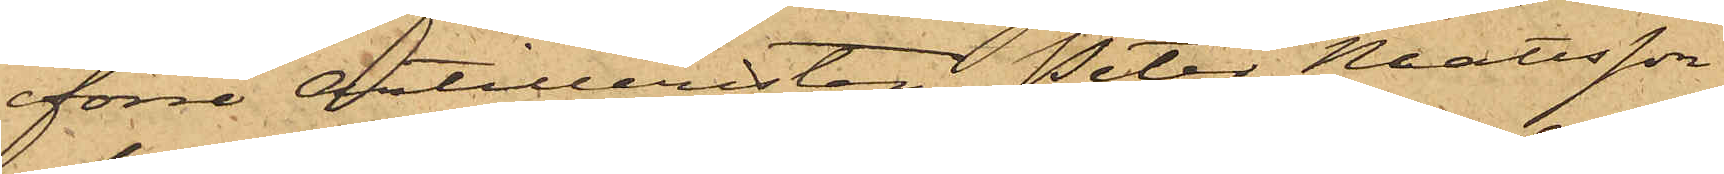förre Artilleristen Peter Mattsson
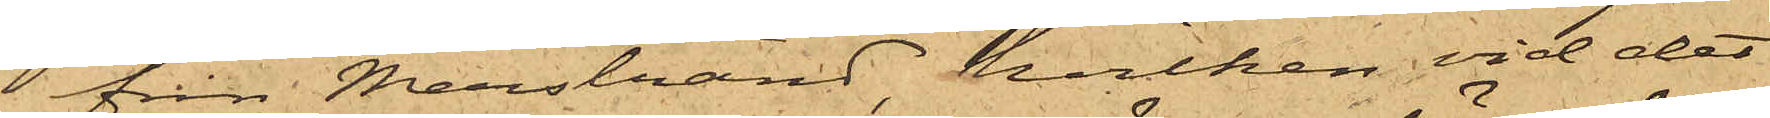från Marstrand, hvilken vid det
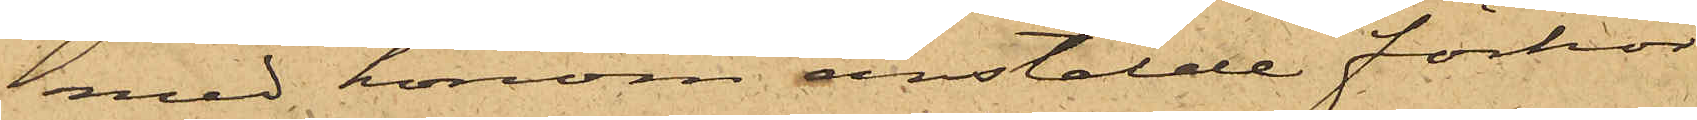med honom anstälde förhör
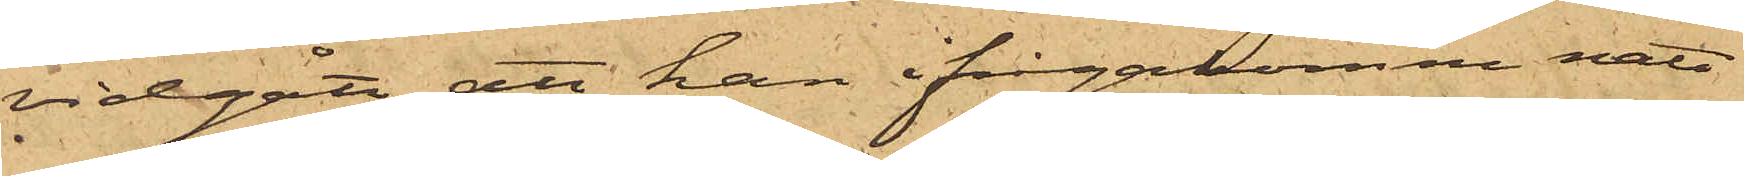vidgått, att han ifrågakomne natt
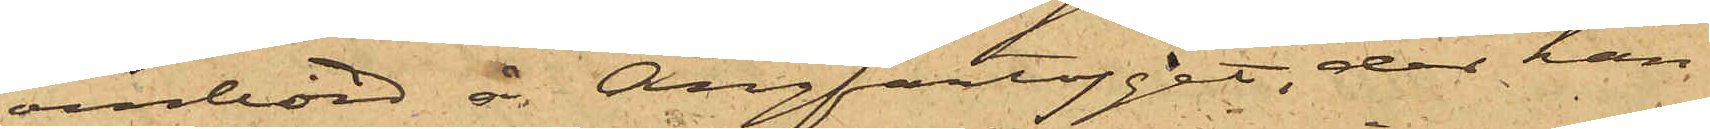ombord å Ångfartyget, der han
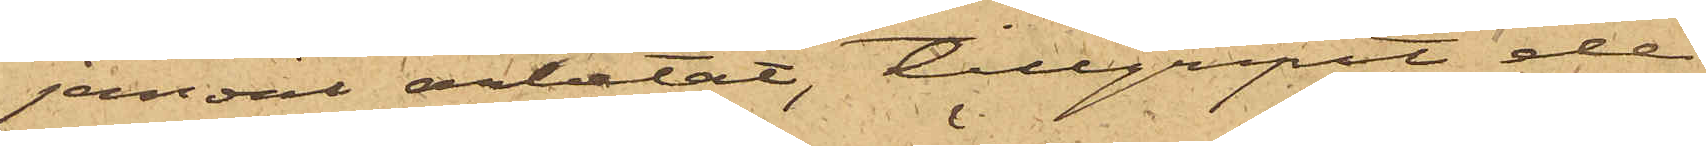jemväl arbetat, tillgripit de
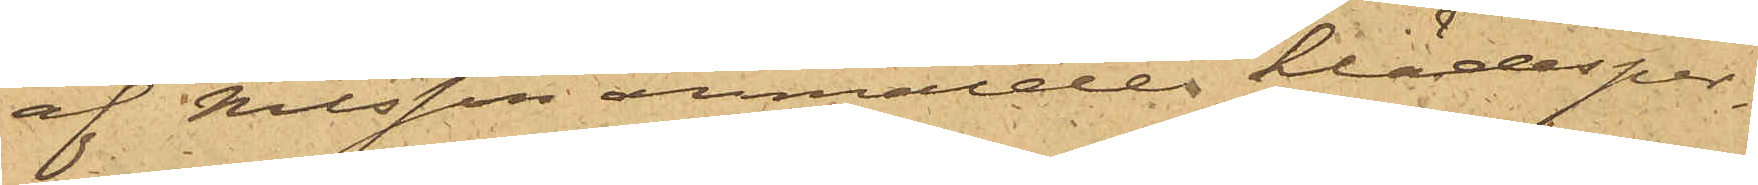af Nilsson anmälde klädesper¬
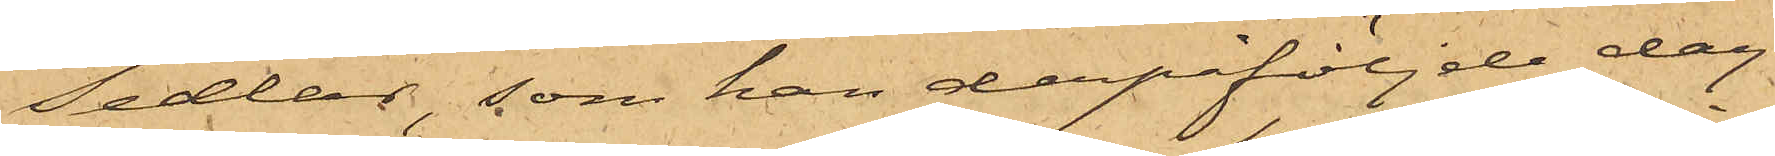sedlar, som han depåföljde dag
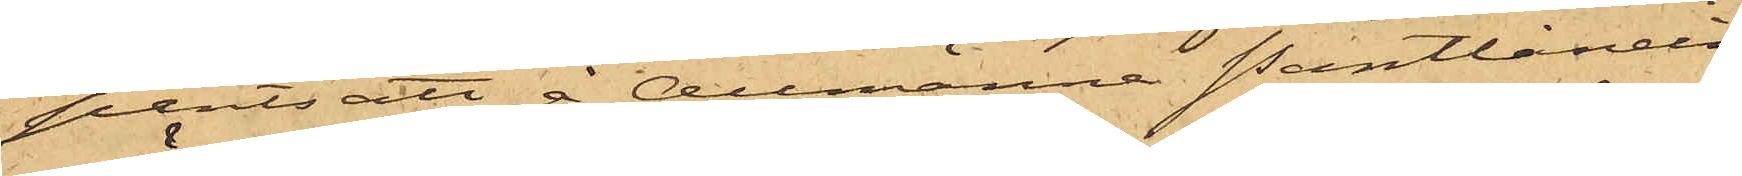pantsatt å Allmänna Pantlånein¬
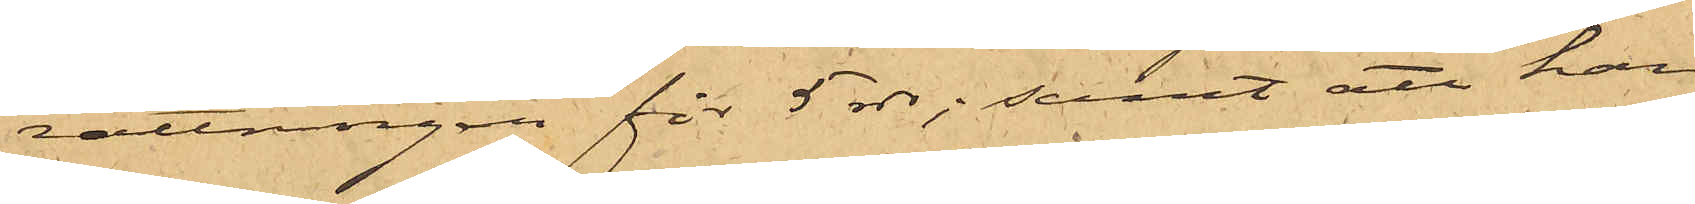rättningen för 5 rdr; samt att han
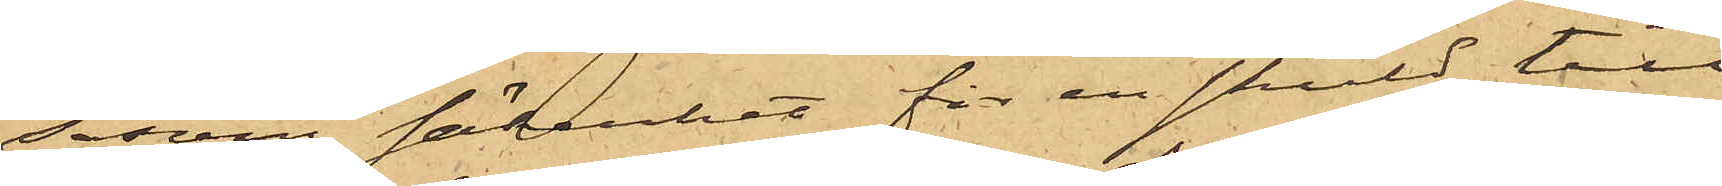såsom säkerhet för en skuld till
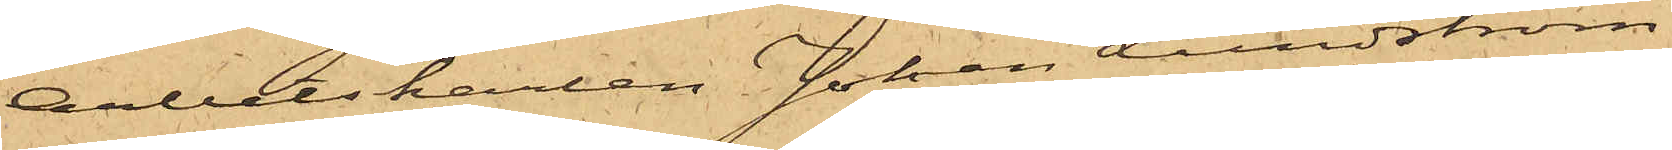Arbetskarlen Johan Lundström
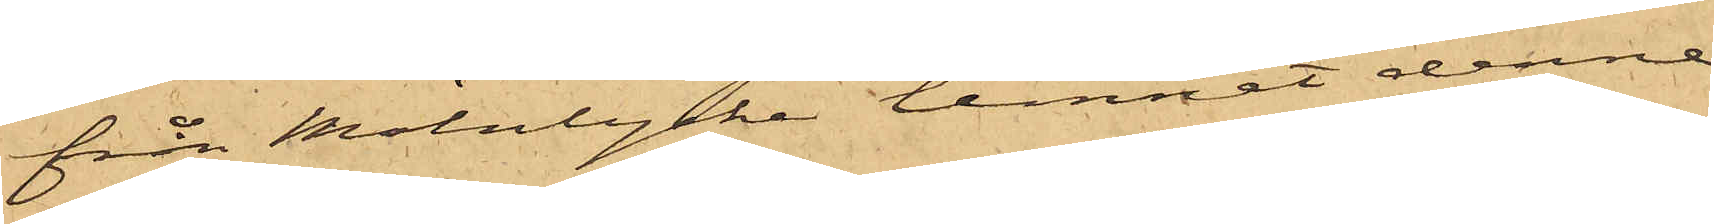från Mölnlycke lemnat denne
